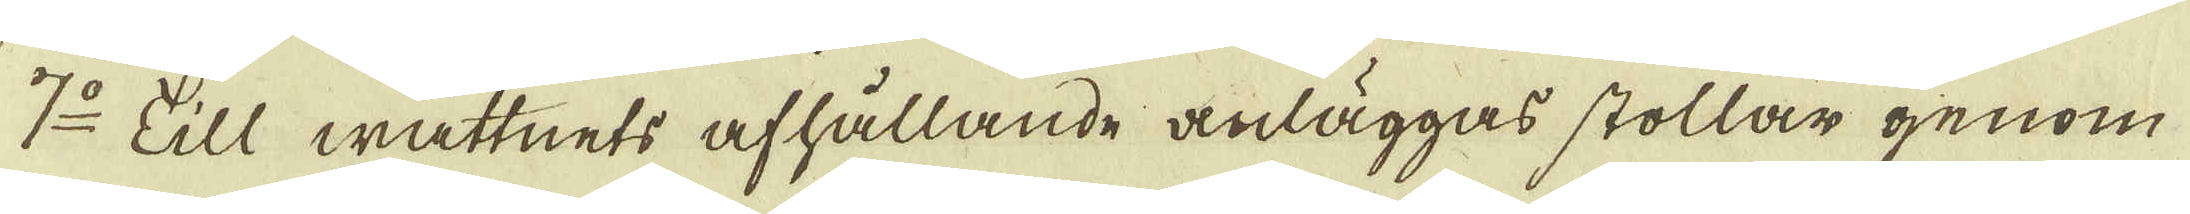7:o Till wattnets afhållande anläggas stollar genom
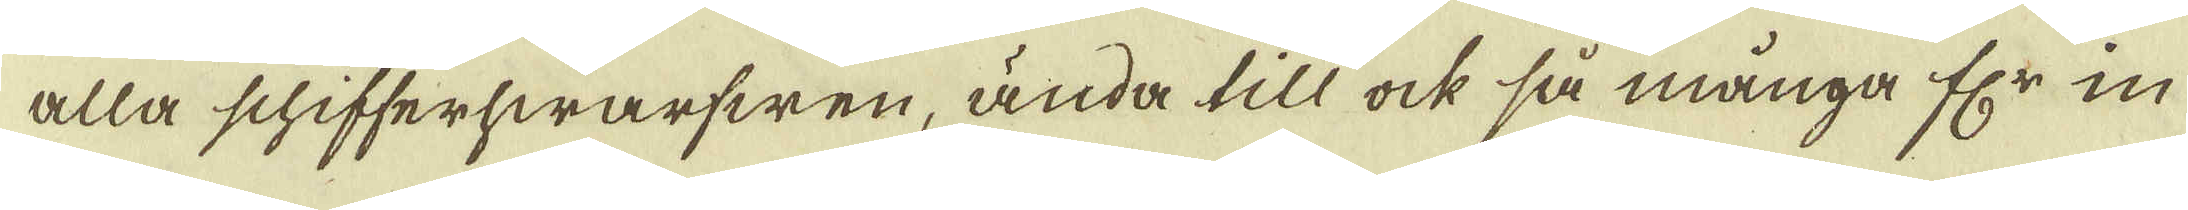alla schifferhwarfwen, ända till ock så många fr: in
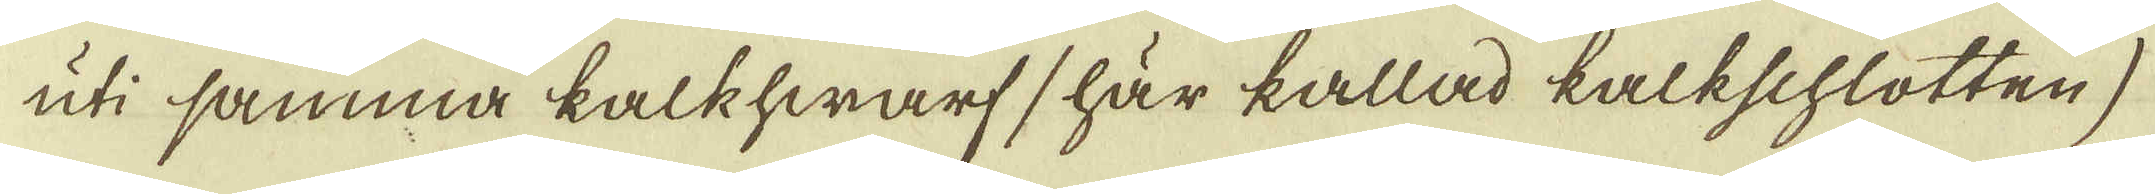uti samma kalkhwarf (här kallad kallschlotten)
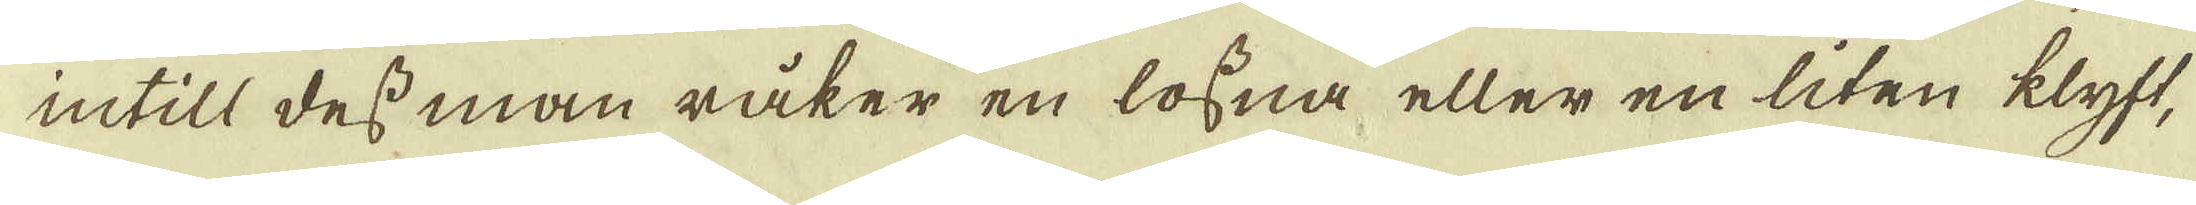intill dess man råker en lossna eller en liten klyft,
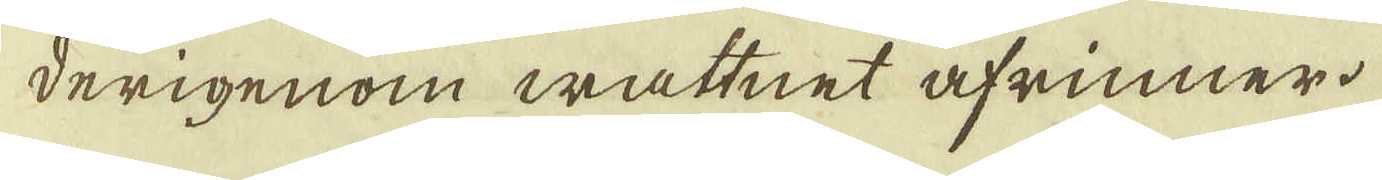derigenom wattnet afrinner.
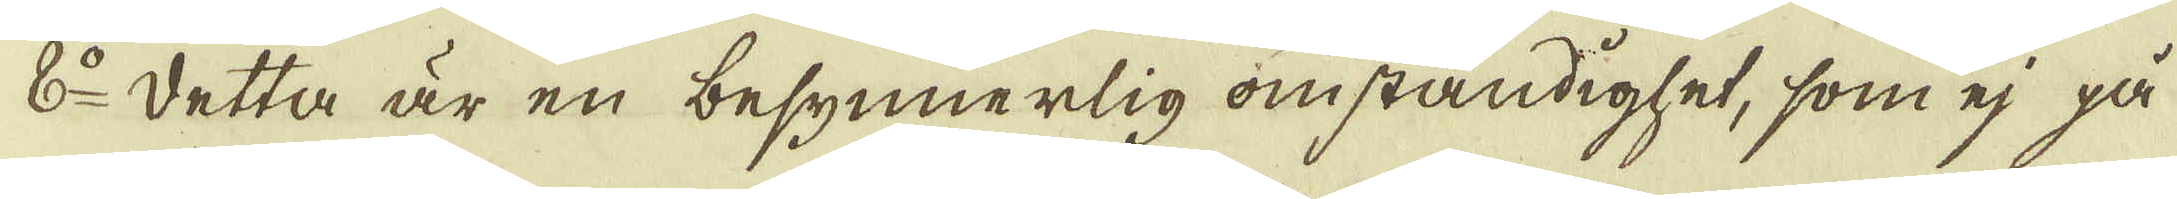8:o Detta är en besynnerlig omständighet, som ej på
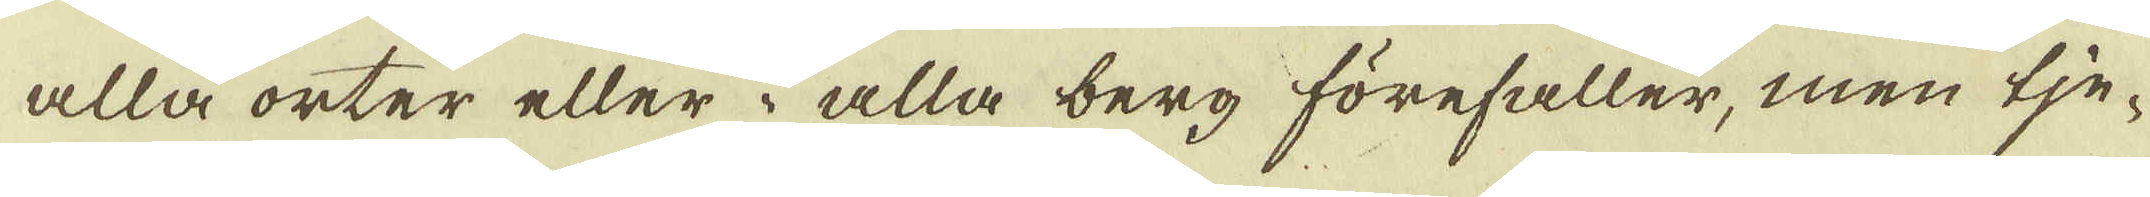alla orter eller i alla berg förefaller, men tje-
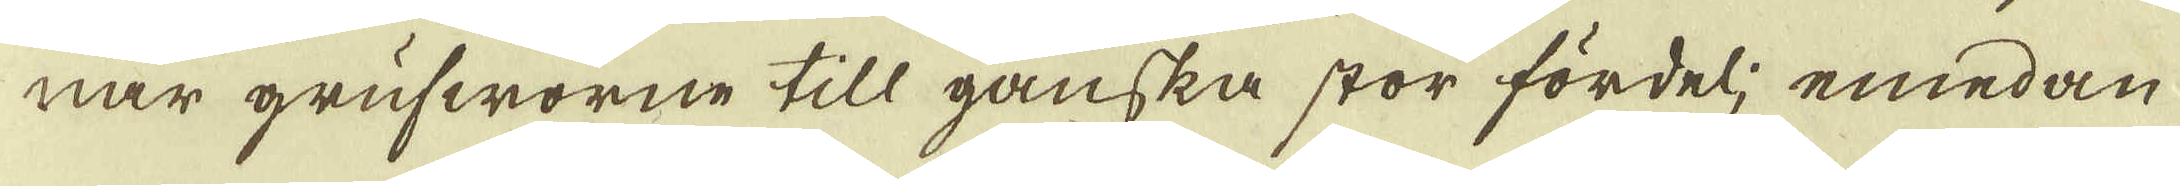nar grufworne till ganska stor fördel, emedan
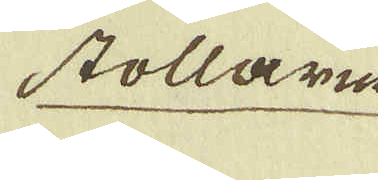stollarne
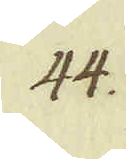44.
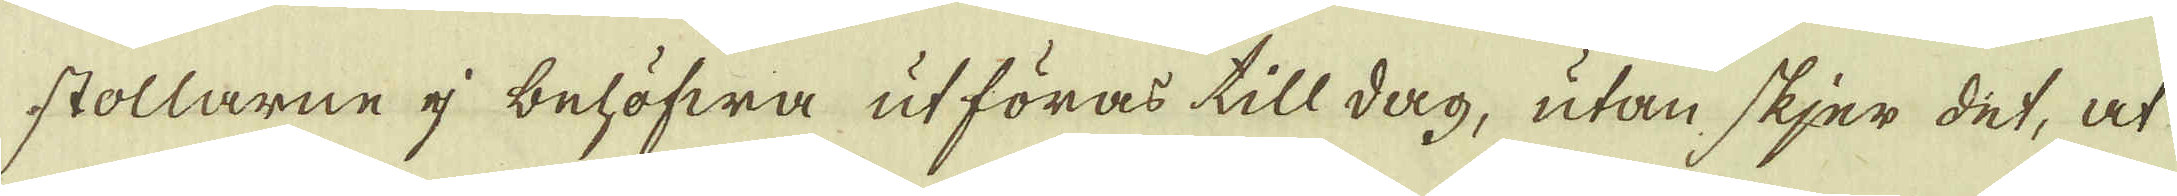stollarne ej behöfwa ut föras till dag, utan skjer det, at
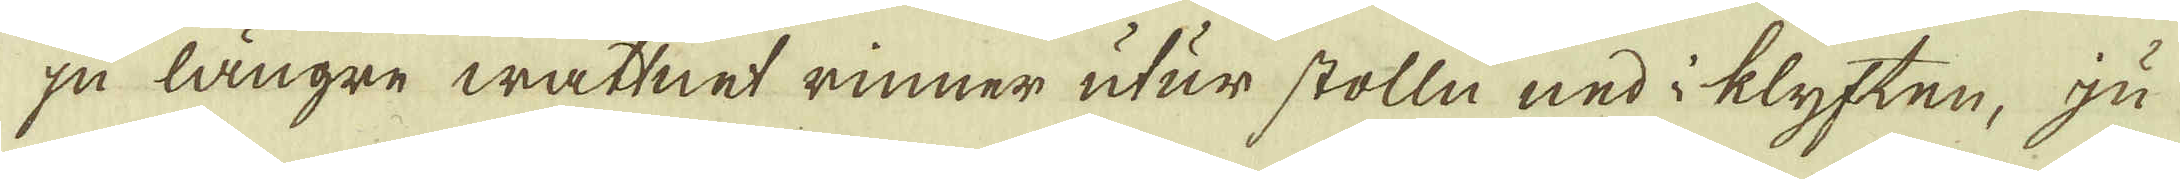ju längre wattnet rinner utur stolln ned i klyften, ju
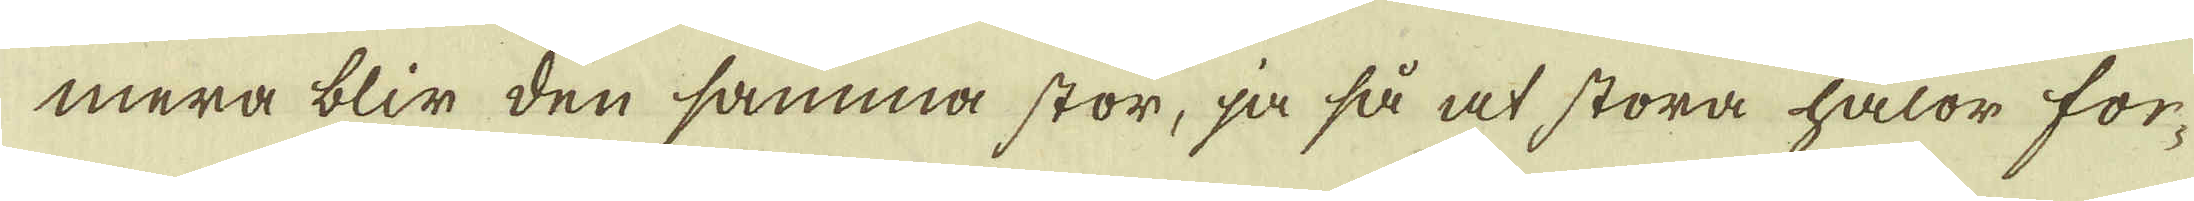mera blir den samma stor, ja så at stora hålor for-
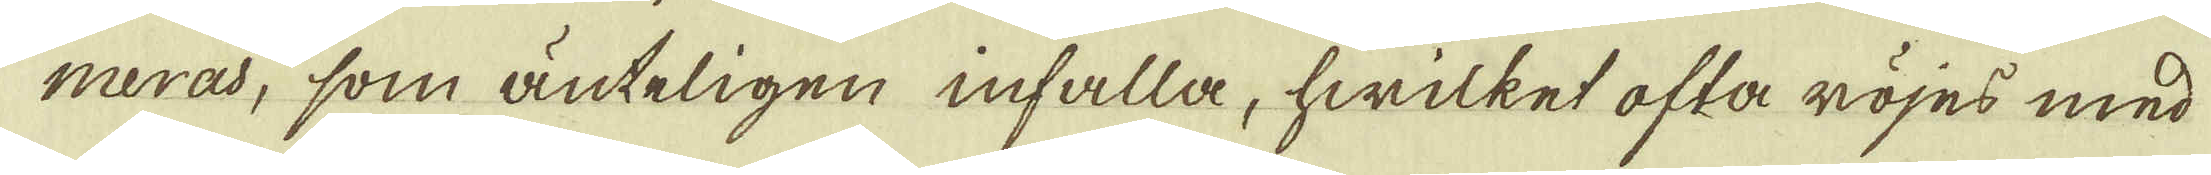meras, som änteligen infalla, hwilket ofta röjes med
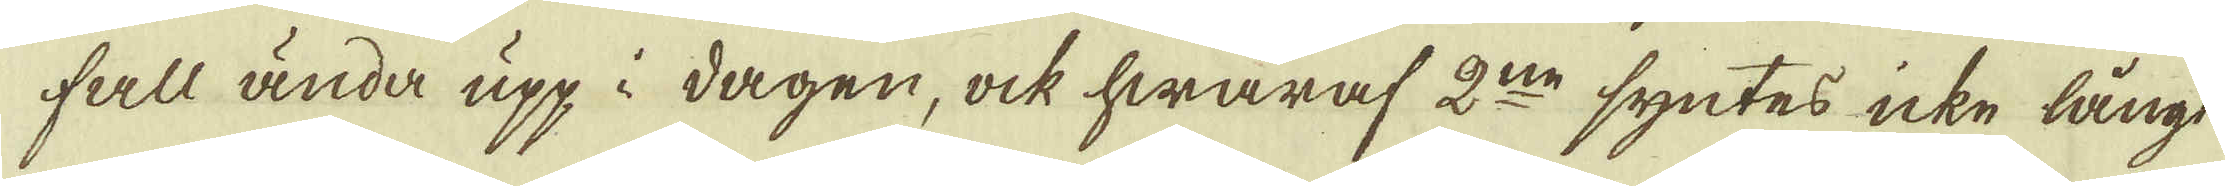fall ända upp i dagen, ock hwaraf 2:ne syntes icke långt
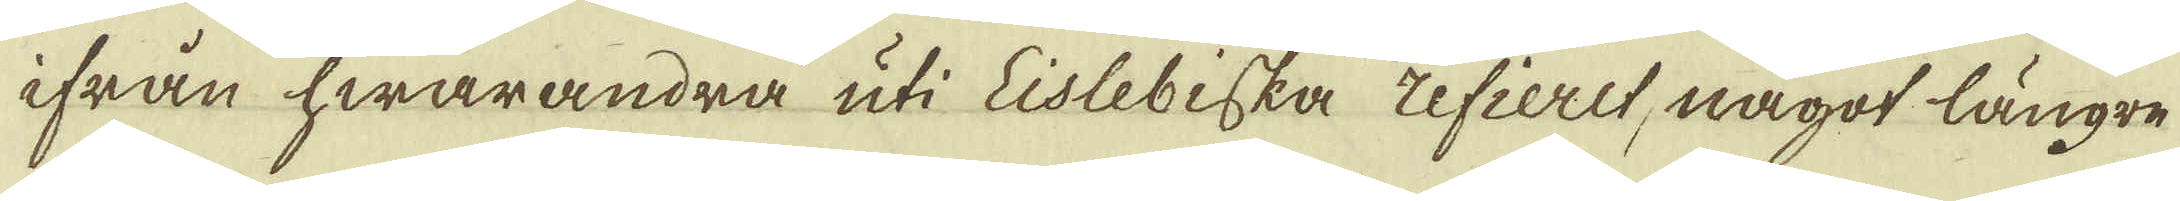ifrån hwarandra uti Eislebiska refierit, något längre
